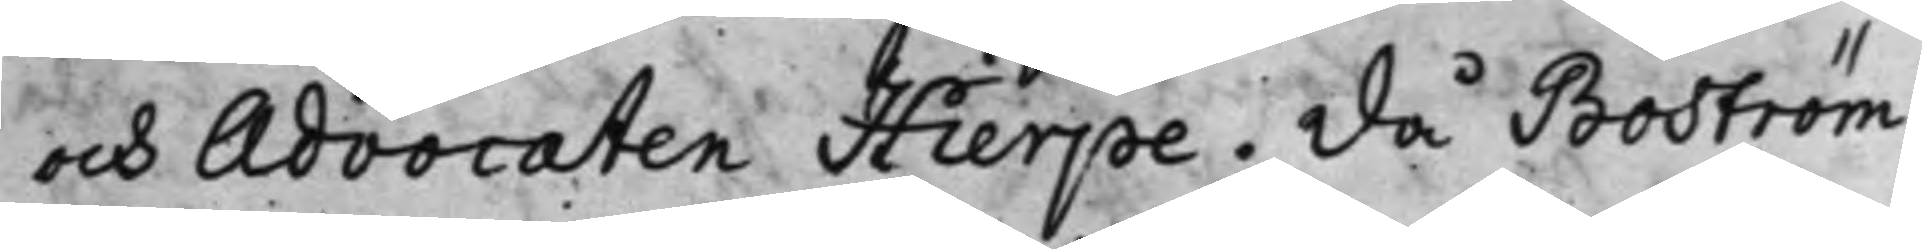och Advocaten Hierpe. Då Boström
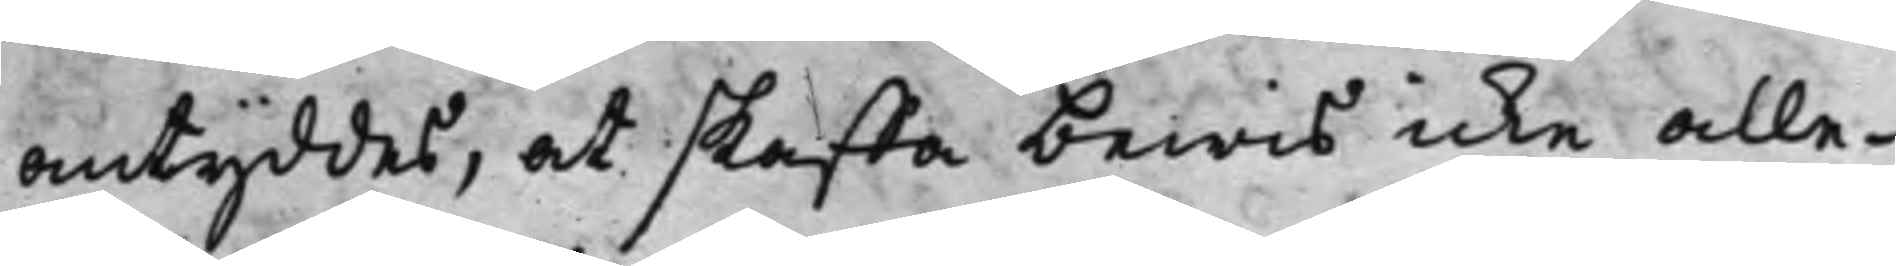antyddes, at skaffa bewis icke alle¬
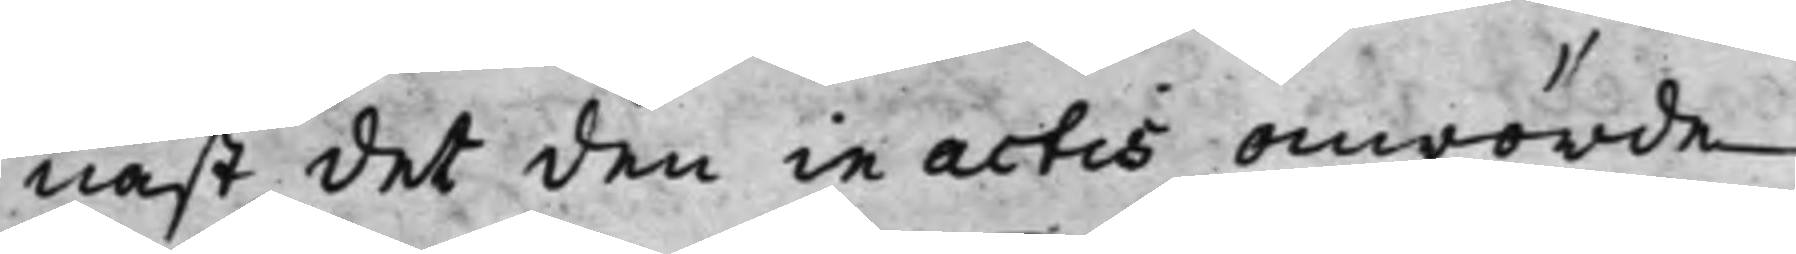nast, det den in actis anrörde
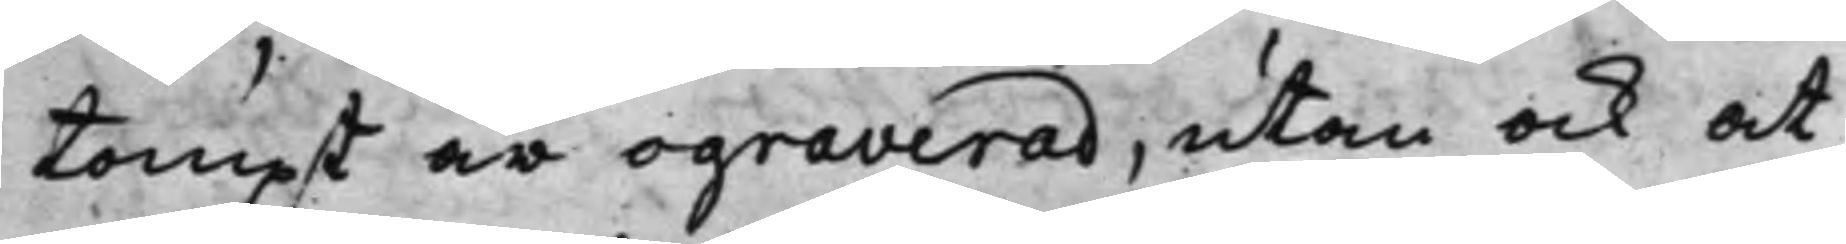tompt är ograverad, utan ock at
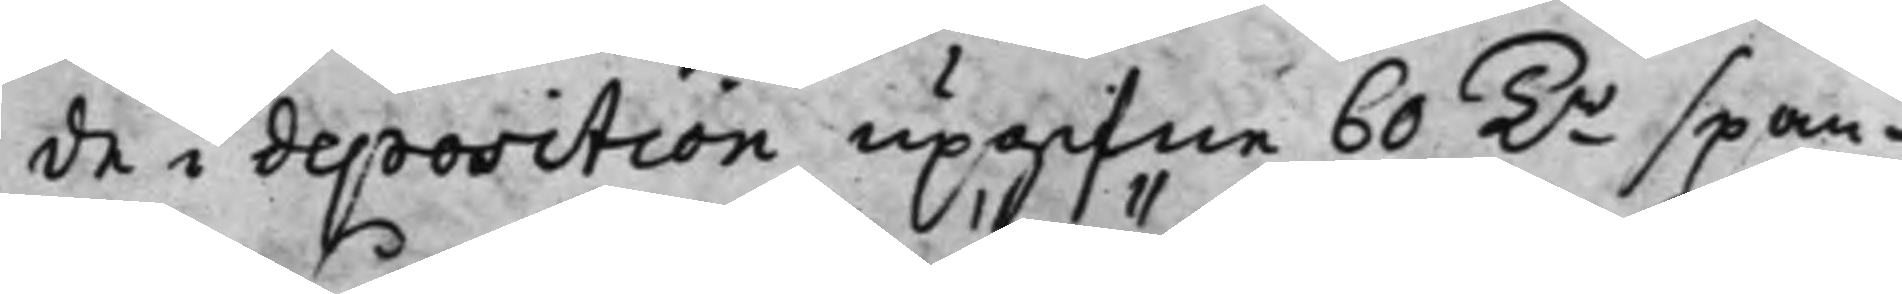de i deposition upgifne 60 Tr Span¬
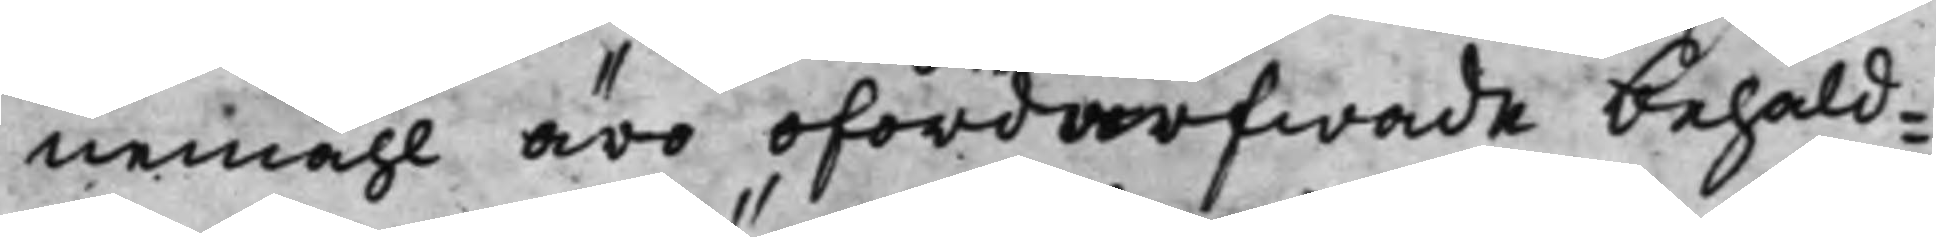nemåhl äro ofördärfwade behåld¬
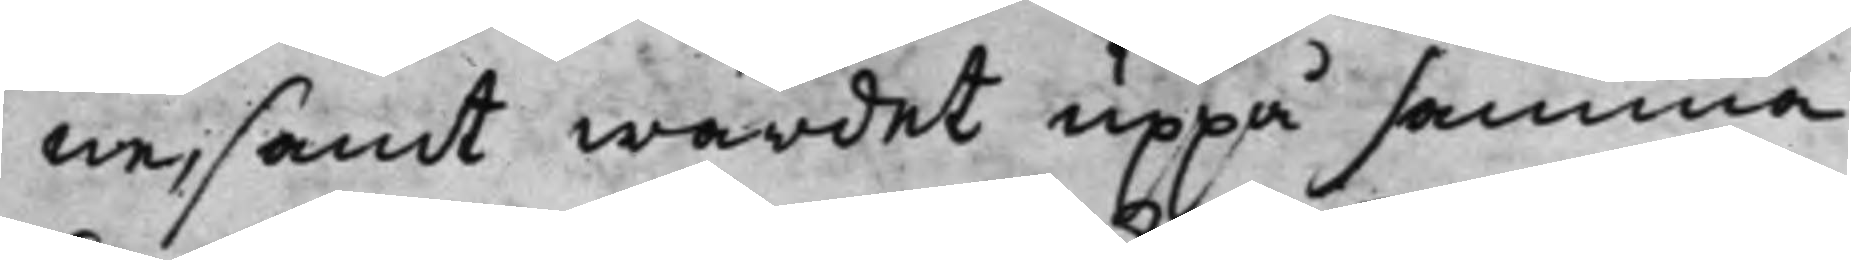ne, samt wärdet uppå samma
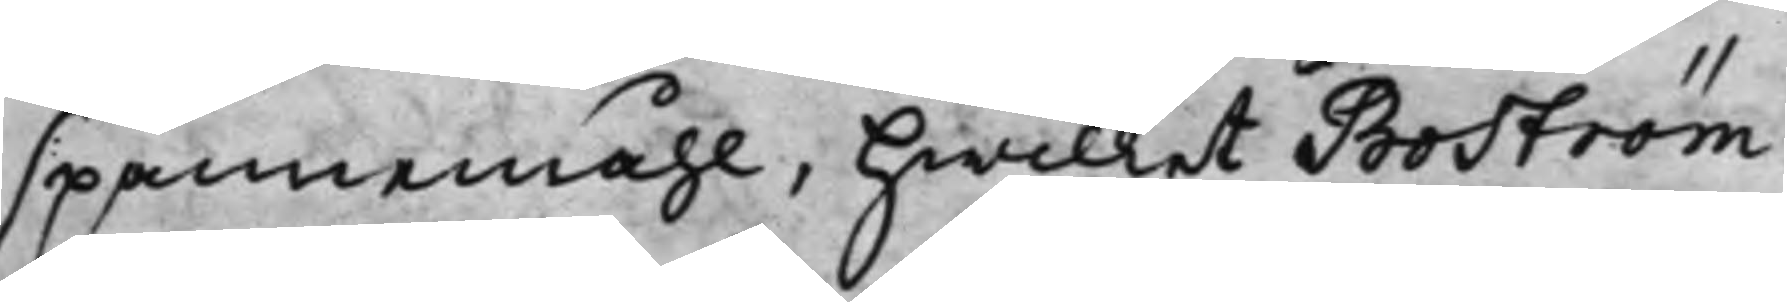spannemåhl, hwilket Boström
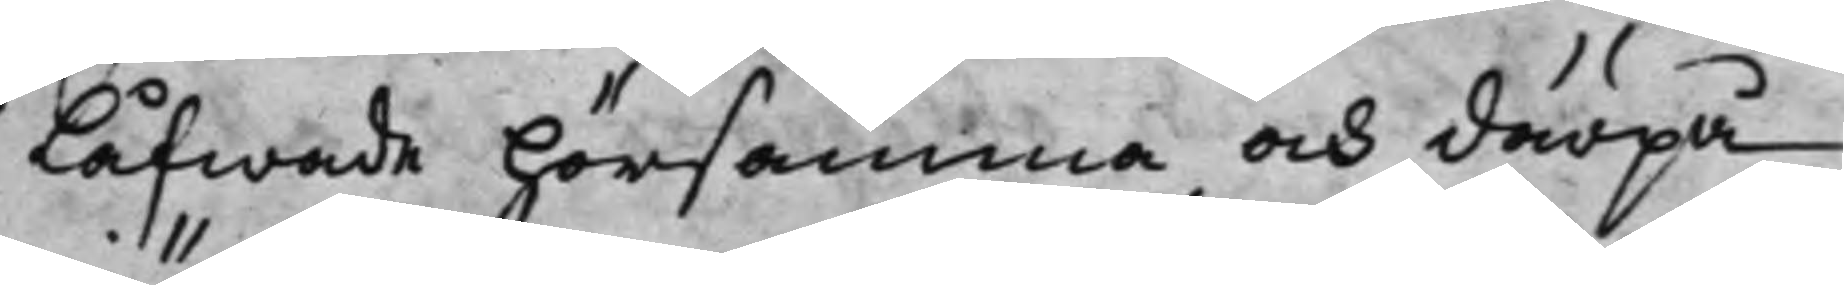låfwade hörsamma och därpå
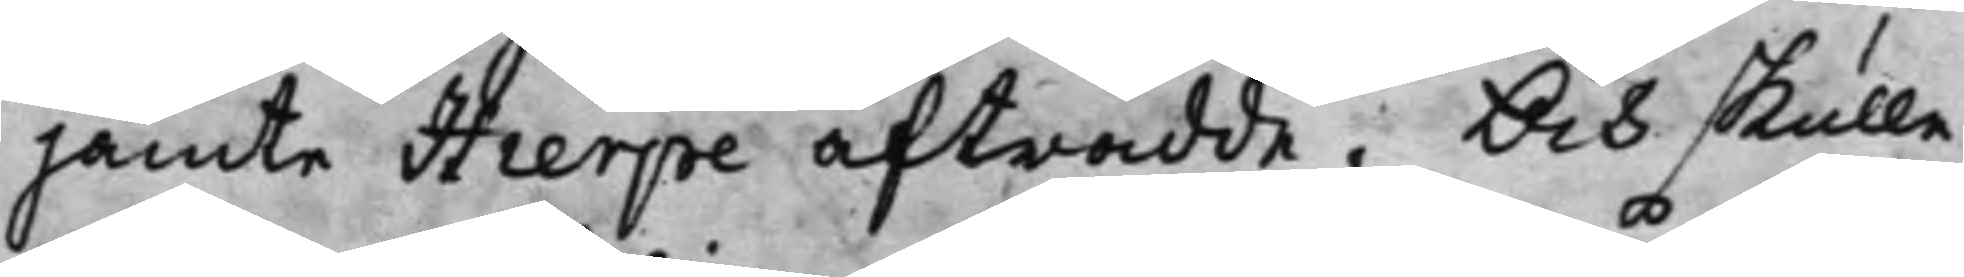jämte Hierpe afträdde. Och skulle
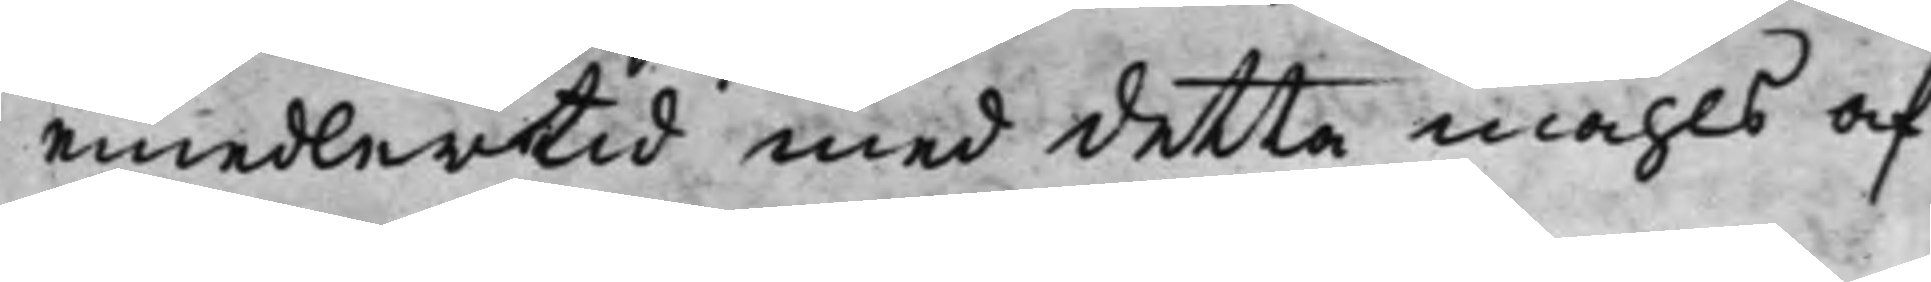emedlertid med detta måhls af¬
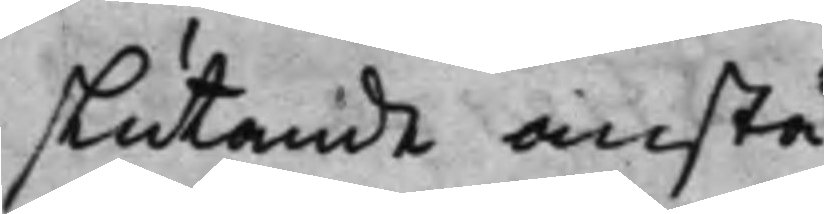slutande anstå.
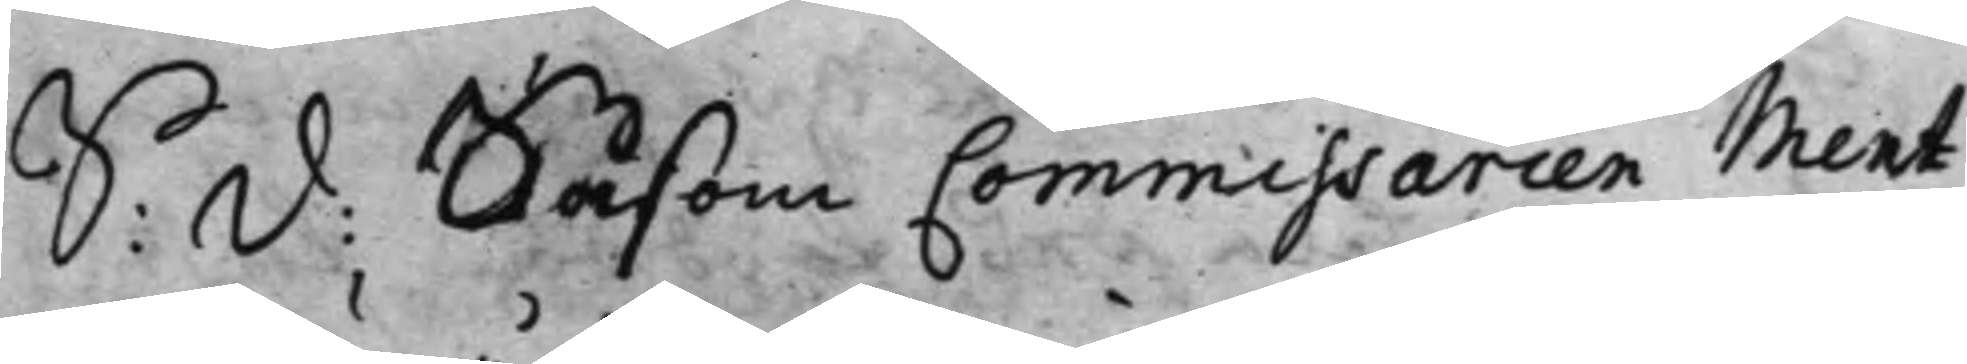S: D: Såsom Commissarien Ment¬
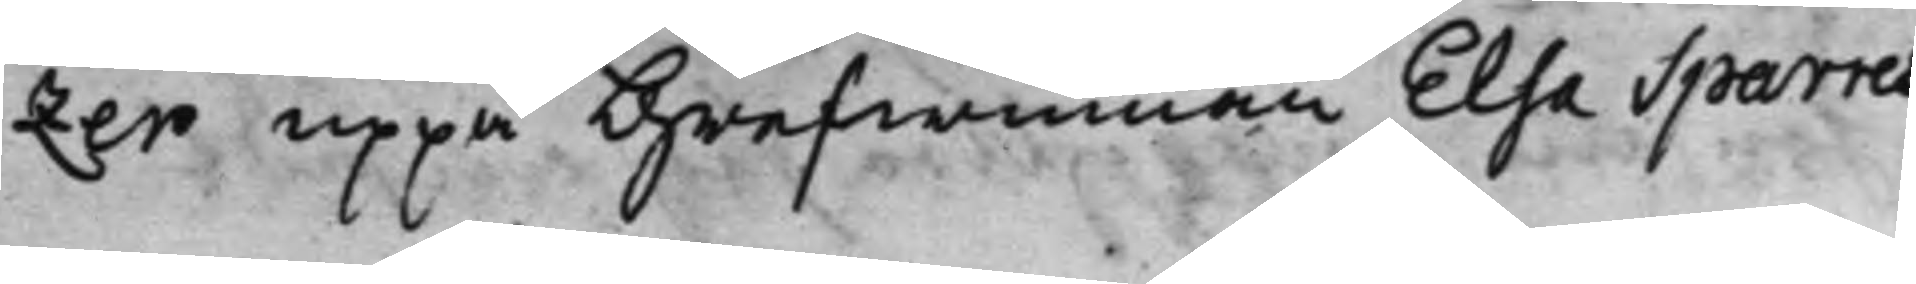zer uppå Grefwinnan Elsa Sparres
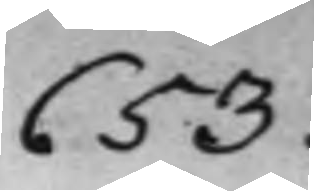653.
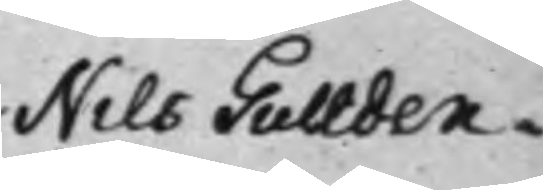Nils Gullden¬
